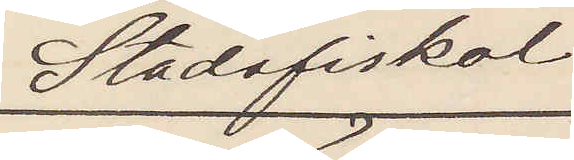Stadsfiskal
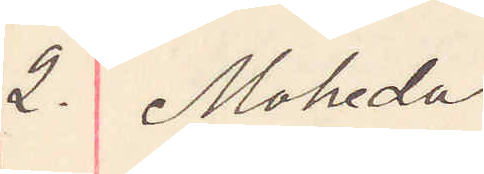2. Moheda
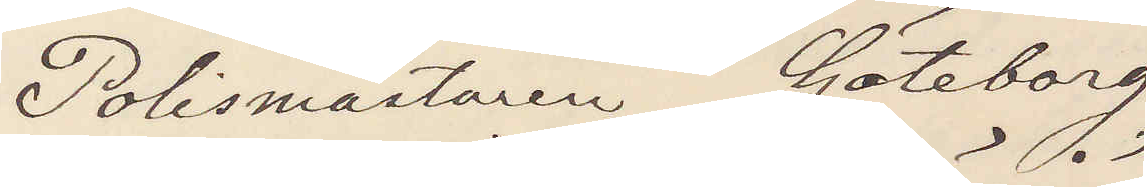Polismästaren Göteborg
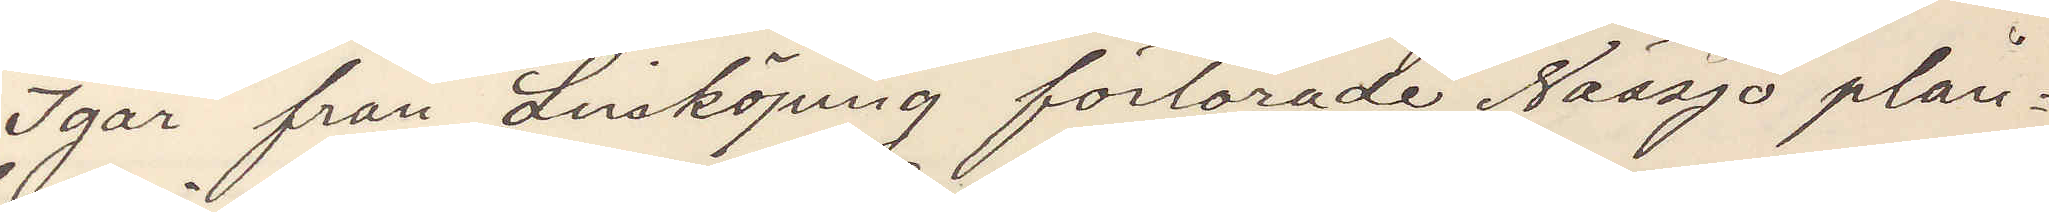Igår från Linköping förlorade Nässjö plån¬
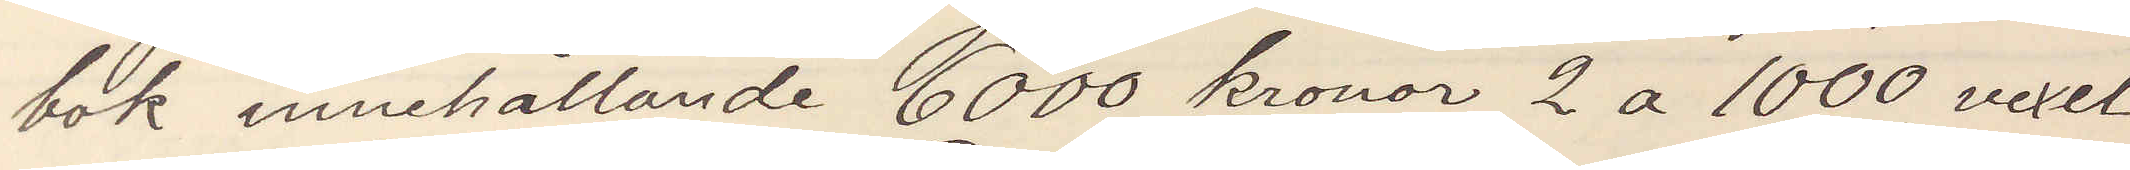bok innehållande 6000 kronor 2 a 1000 vexel
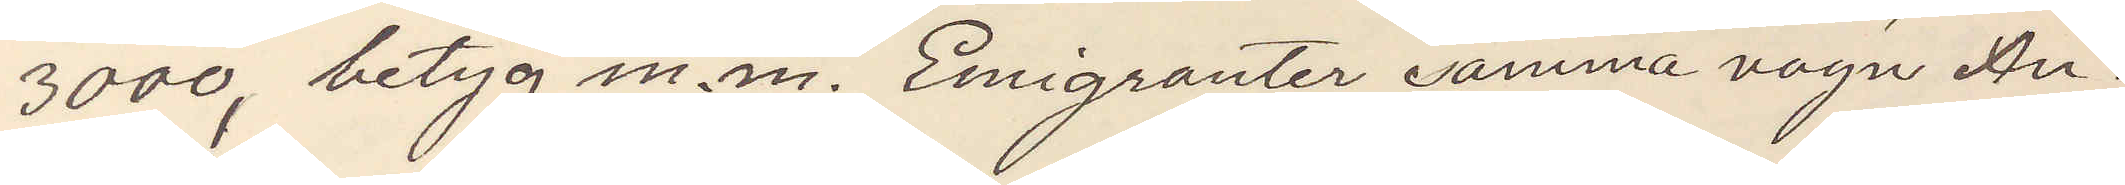3000, betyg m. m. Emigranter samma vagn An¬
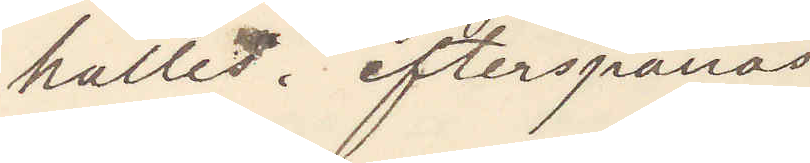hålles. efterspanas
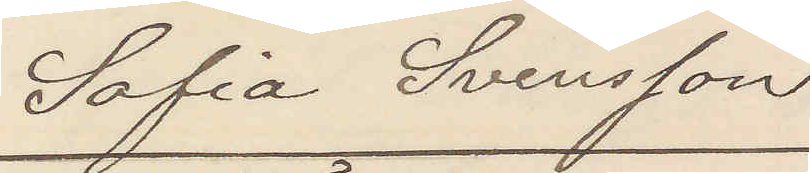Sofia Svensson
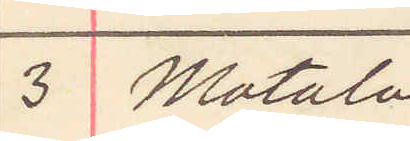3 Motala
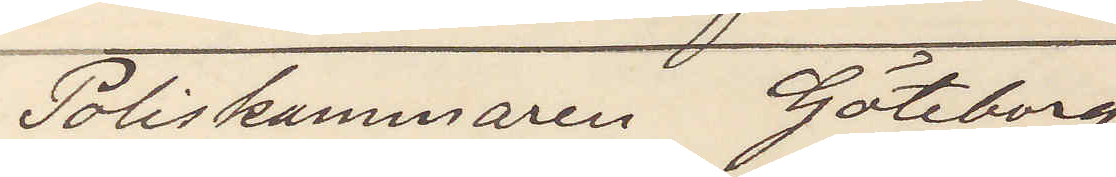Poliskammaren Göteborg
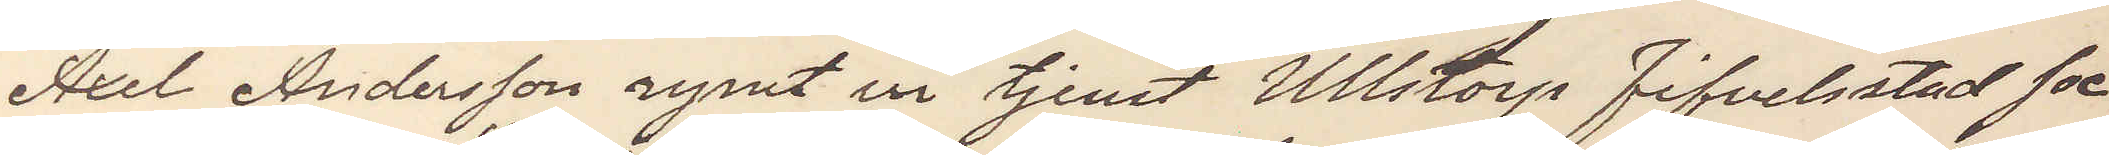Axel Andersson rymt ur tjenst Ullstorp Fifvelstad soc¬
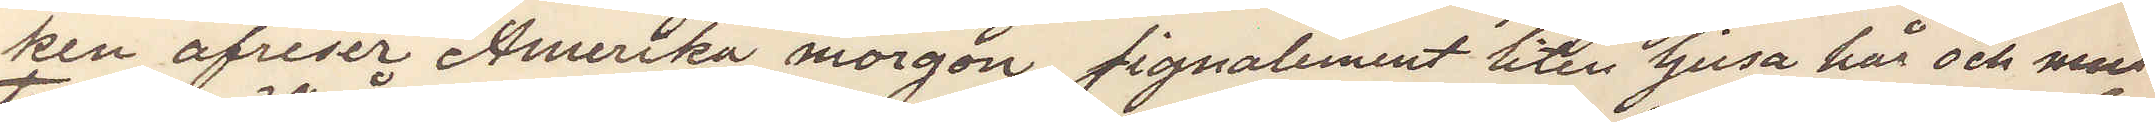ken afreser Amerika morgon, signalement liten ljus hår och mus¬
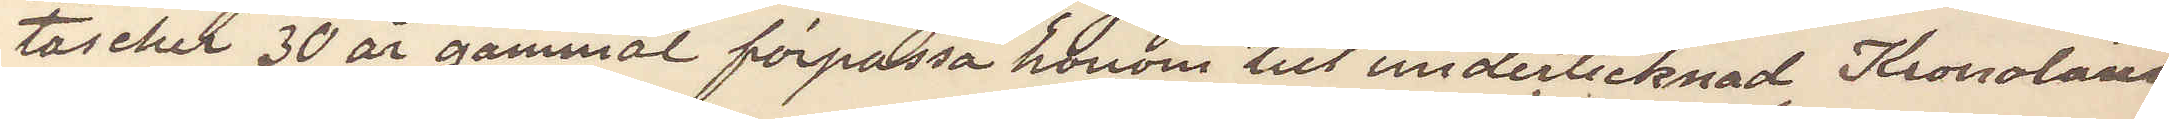tascher 30 år gammal förpassa honom till undertecknad Kronoläns¬
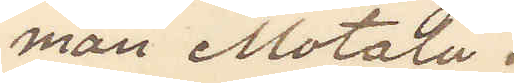man Motala.
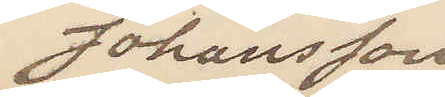Johansson
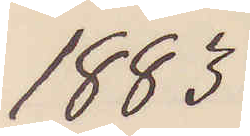1883
